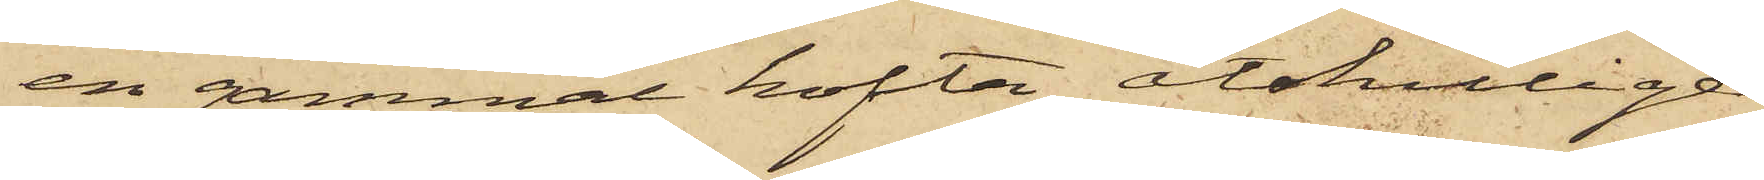en gammal kofta, åtskillige
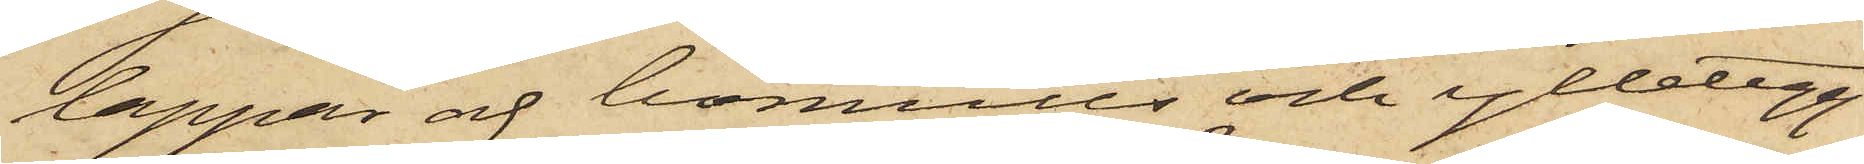lappar af bomulls och ylletyg
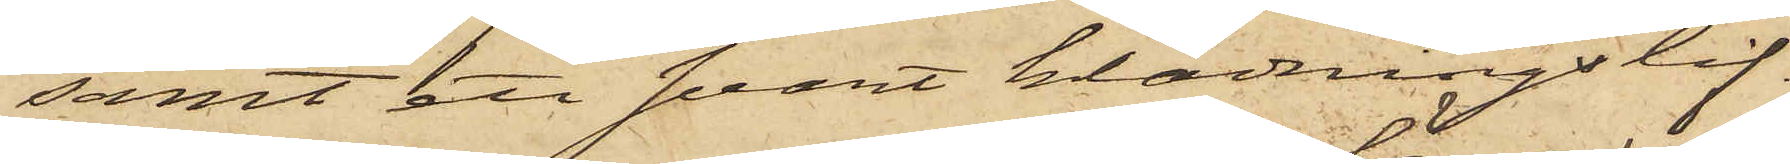samt ett svart klädningslif.
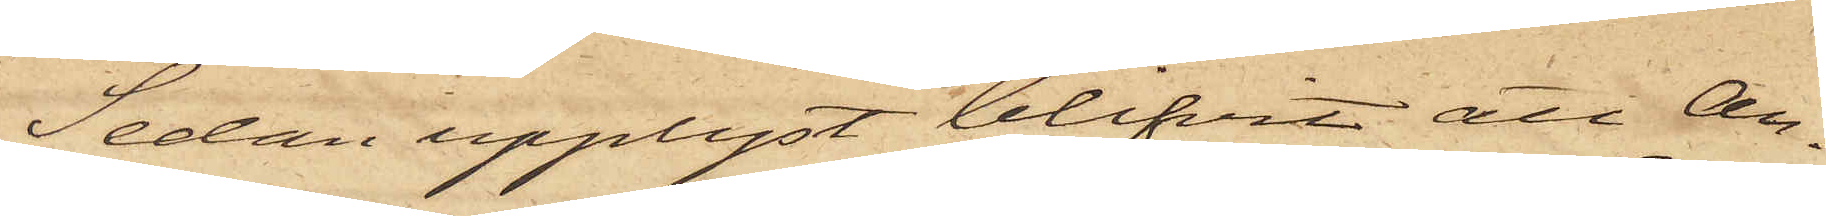Sedan upplyst blifvit att An¬
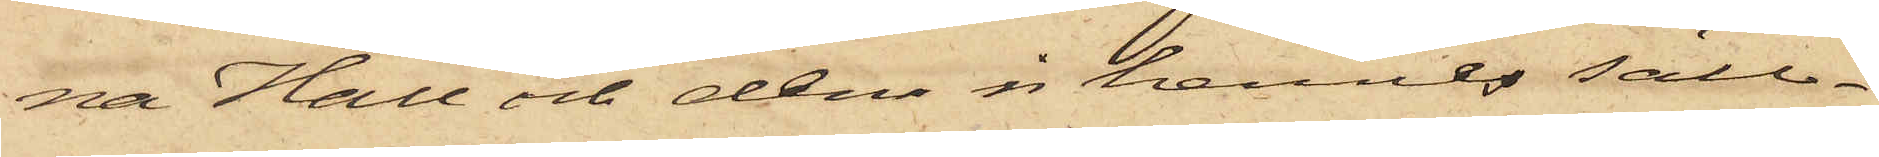na Hall och den i hennes säll¬
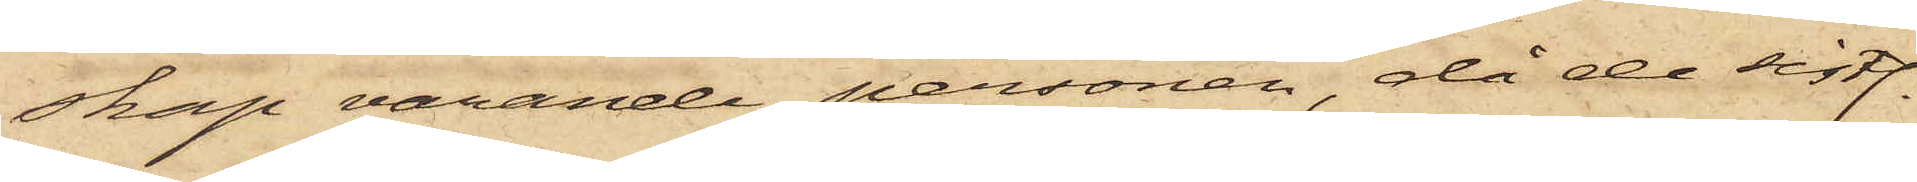skap varande personen, då de sistl.
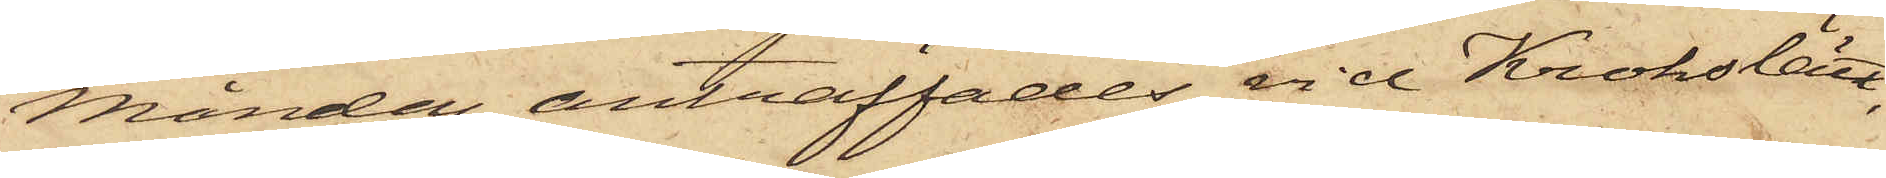Måndag anträffades vid Krokslätt,
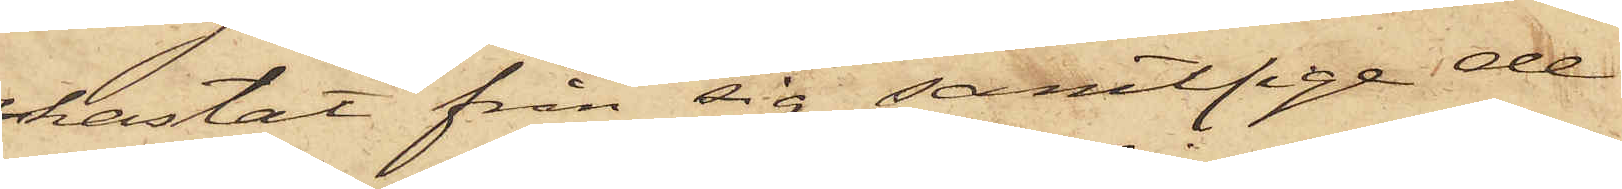kastat från sig samtliga de
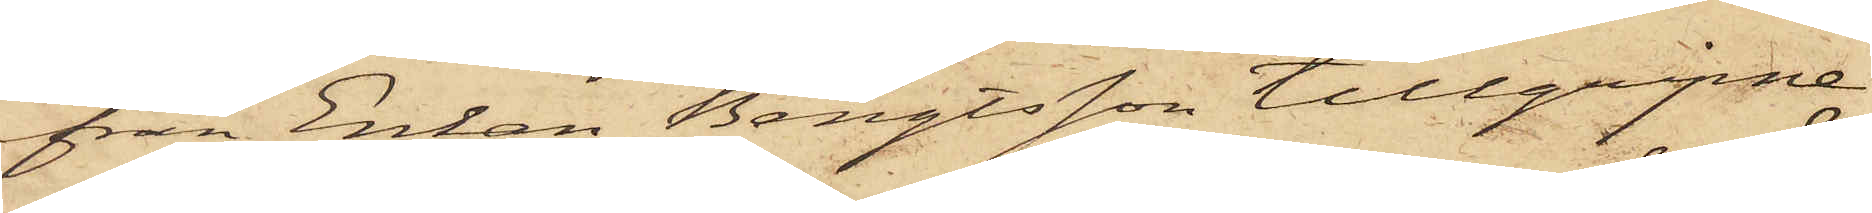från Enkan Bengtsson tillgripne
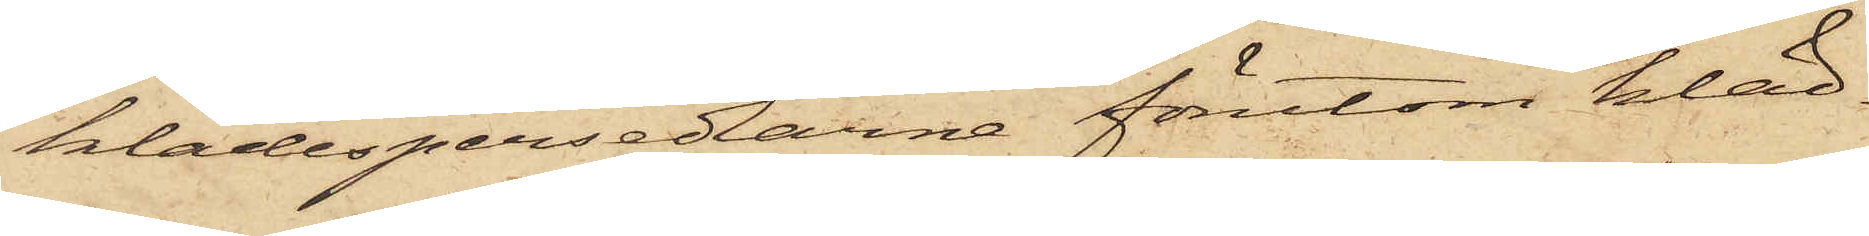klädespersedlarne förutom kläd¬
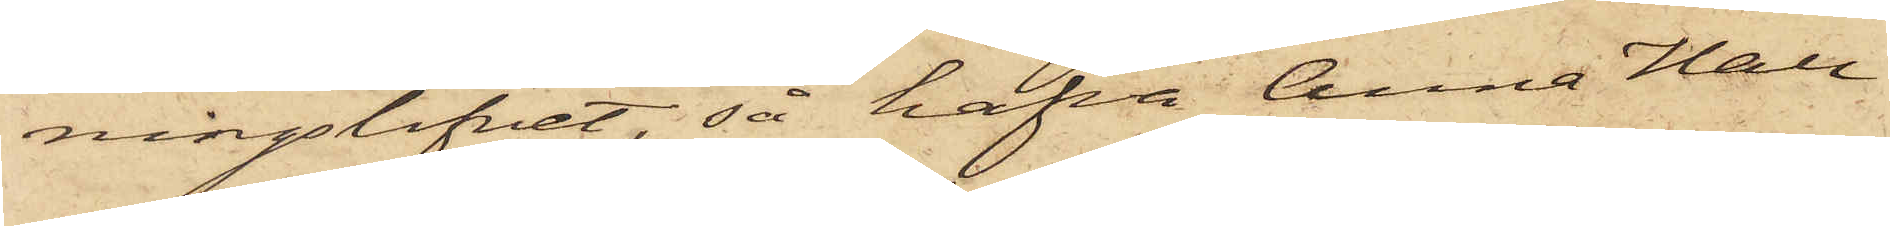ningslifvet, så hafva Anna Hall
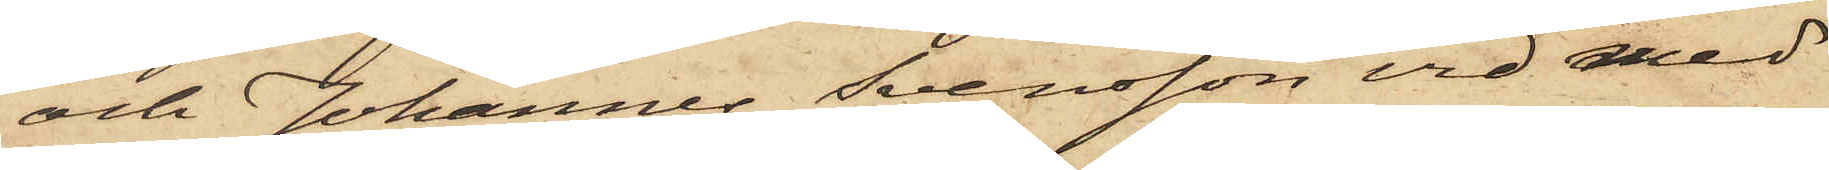och Johannes Svensson vid med
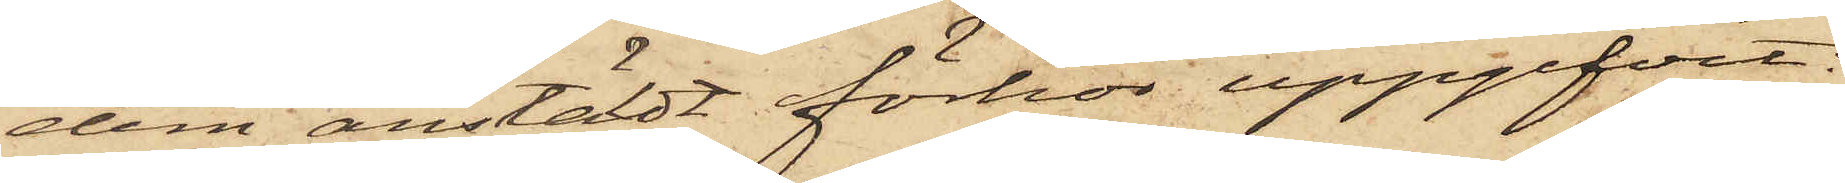dem anstäldt förhör uppgifvit:
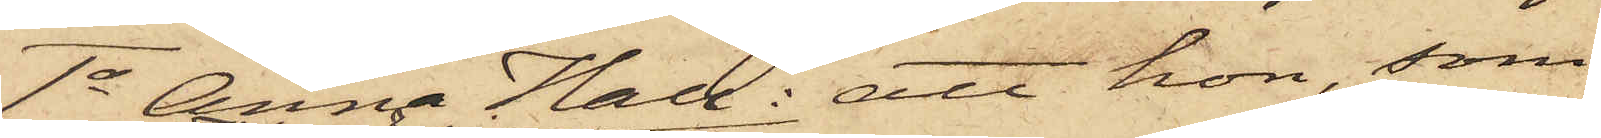1o Anna Hall: att hon, som
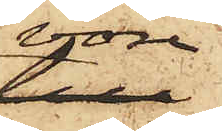vore
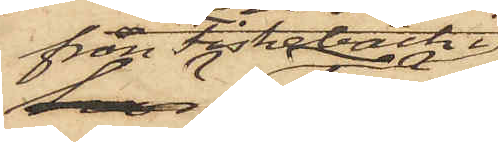från Fiskebäck
